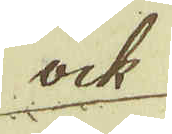ock
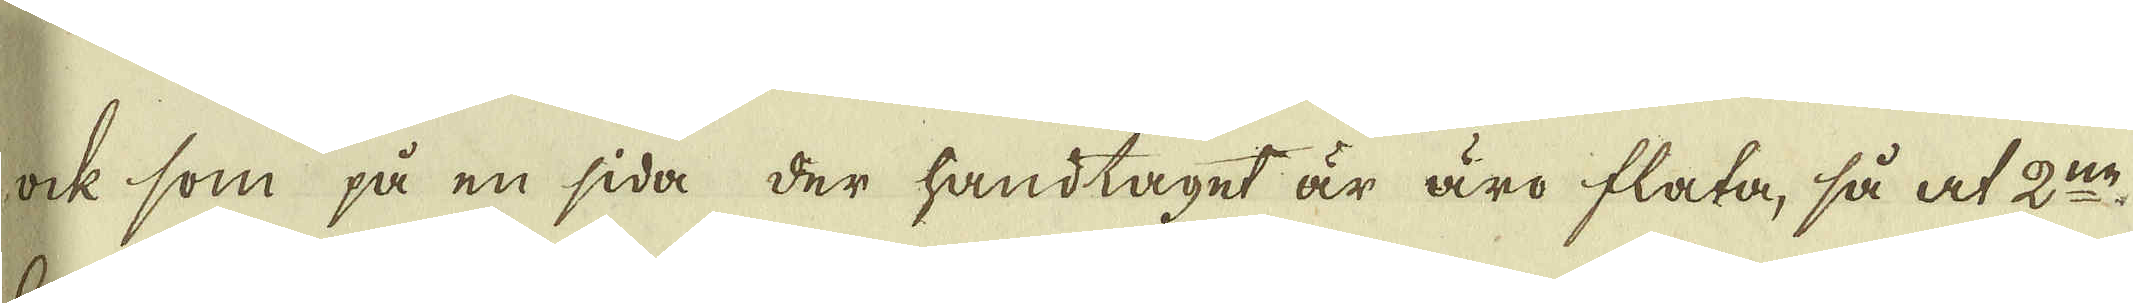ock som på en sida der handtaget är äro flata, så at 2:ne
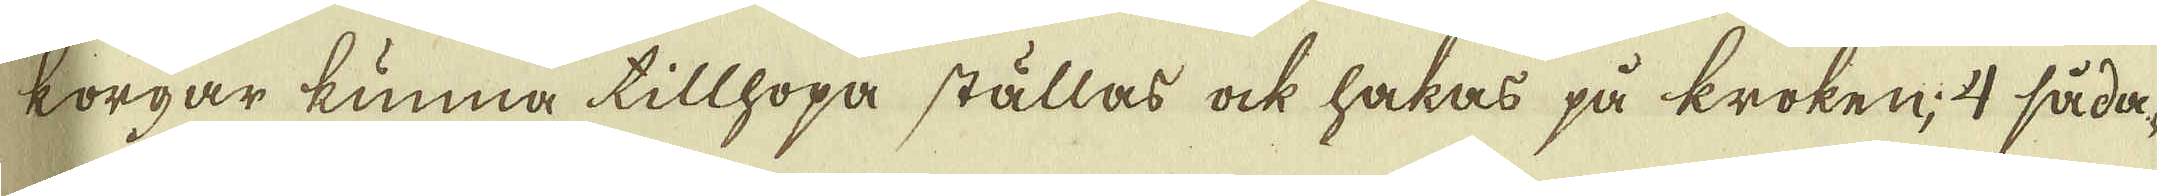korgar kunna tillhopa ställas ock hakas på kroken, 4 såda-
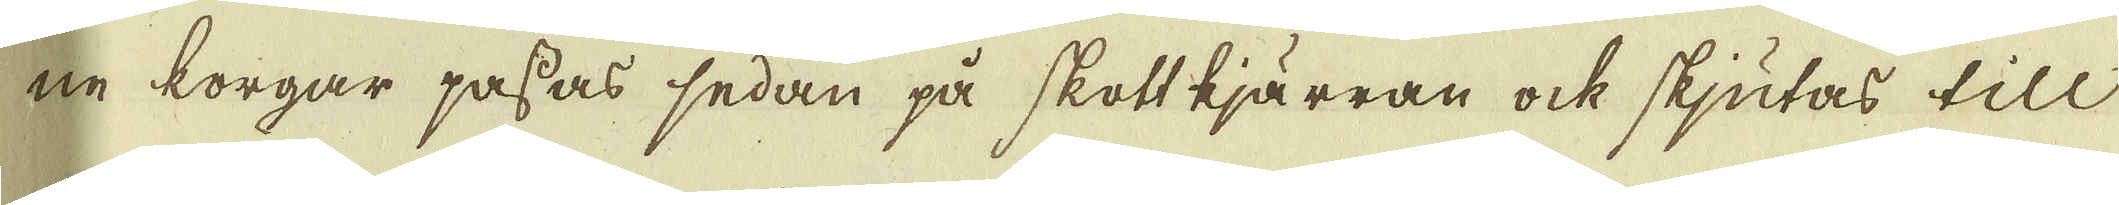ne korgar passas sedan på skott kjärran ock skjutas till
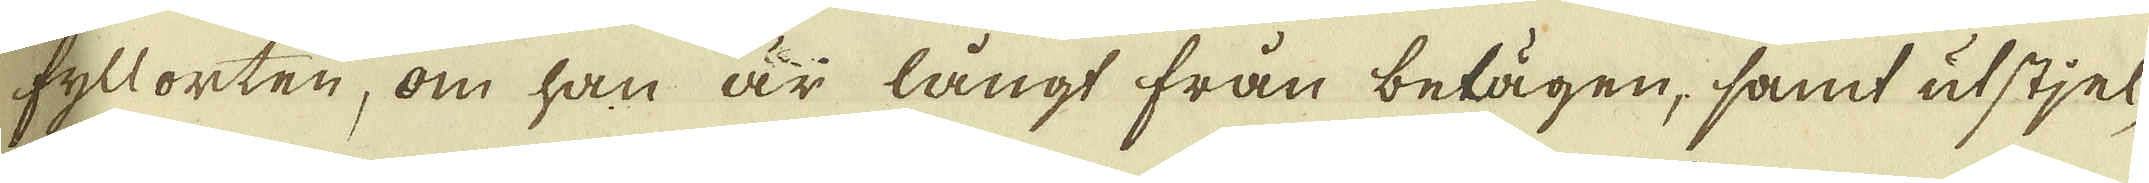fyllorten, om han är långt från belägen, samt utstjel-
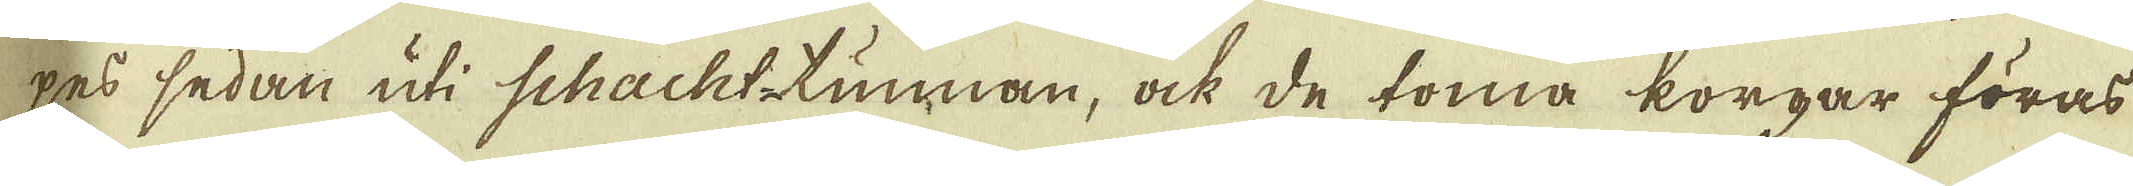pes sedan uti Schackt-tunnan, ock de toma korgar föras
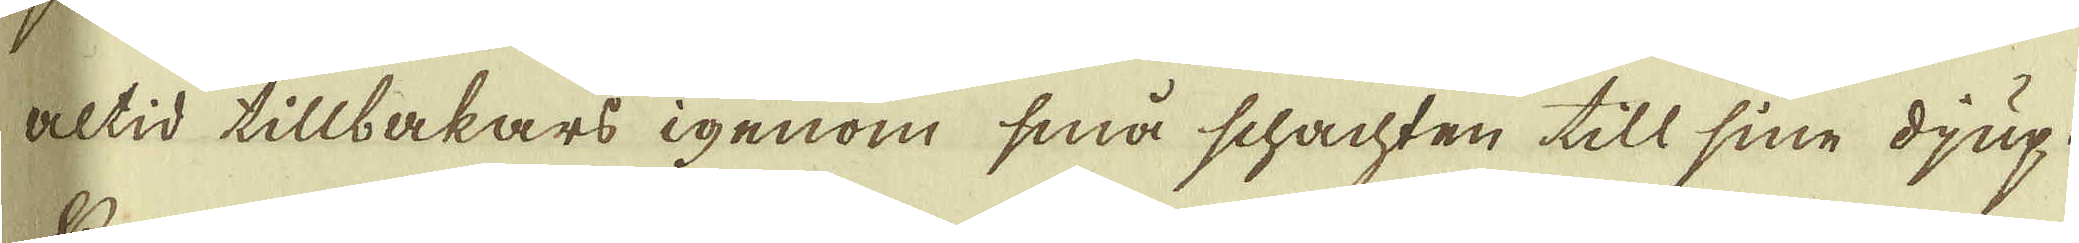altid tillbakars igenom små schachten till sine djup.
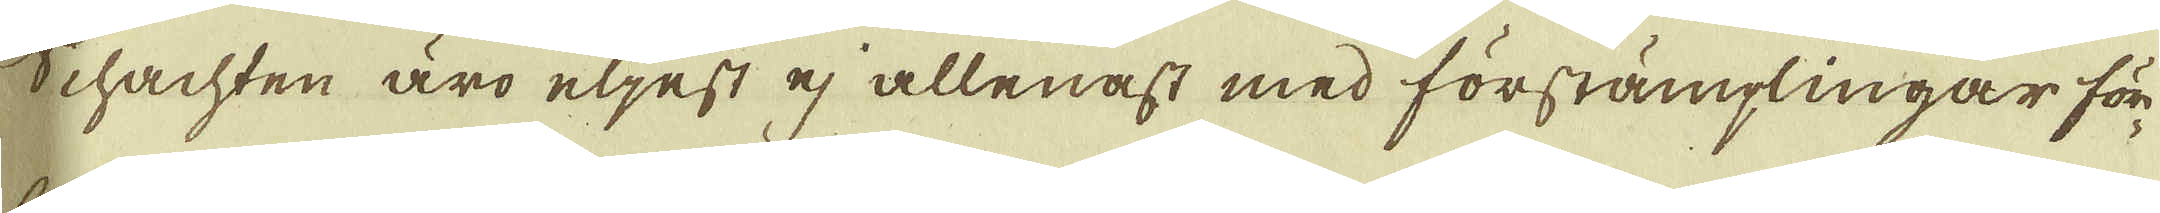Schachten äro eljest ej allenast med förstämplingar för-
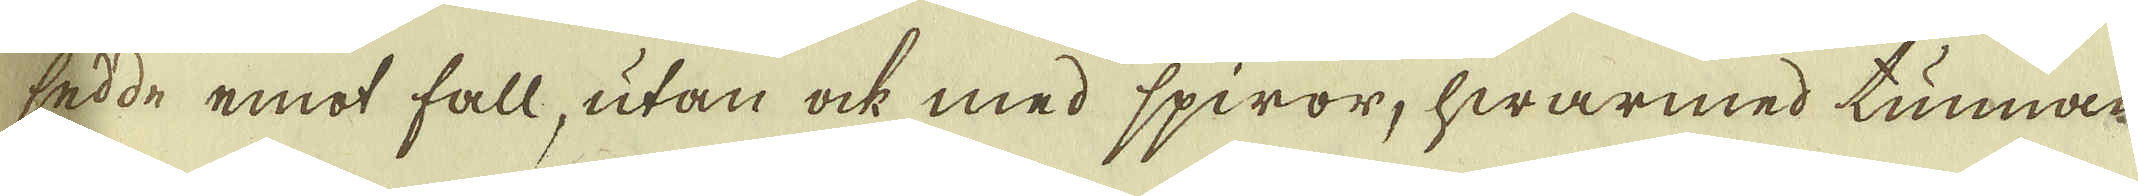sedde emot fall, utan ock med spiror, hwarmed tunnan
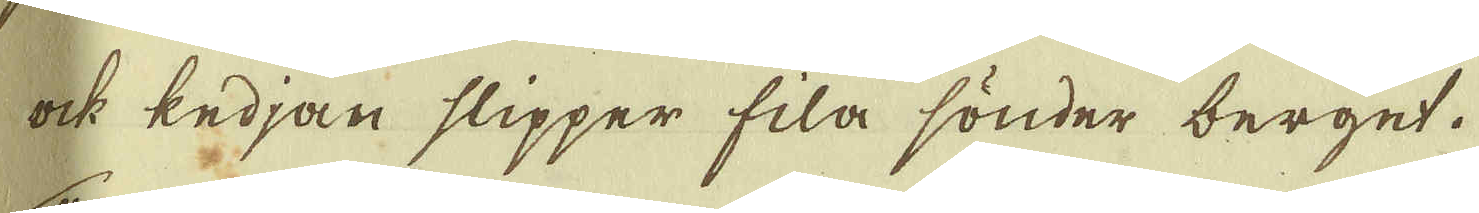ock kedjan slipper fila sönder berget.
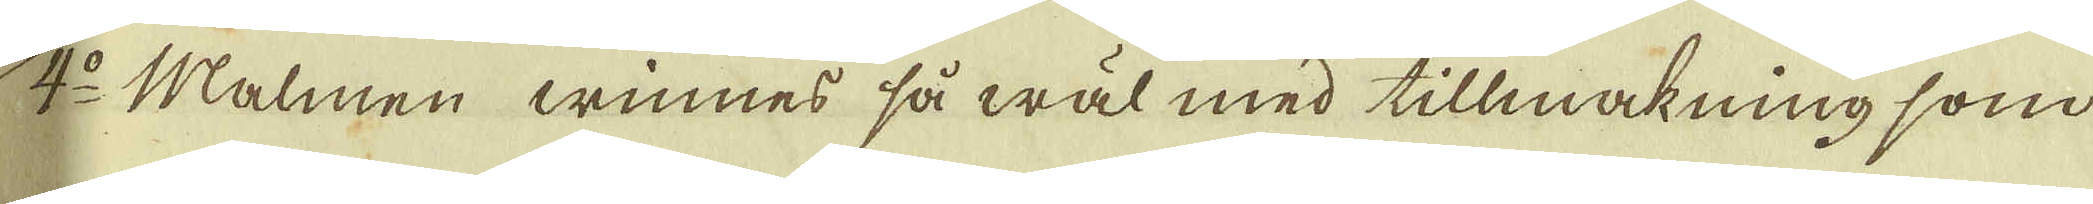4:o Malmen winnes så wäl med tillmakning som
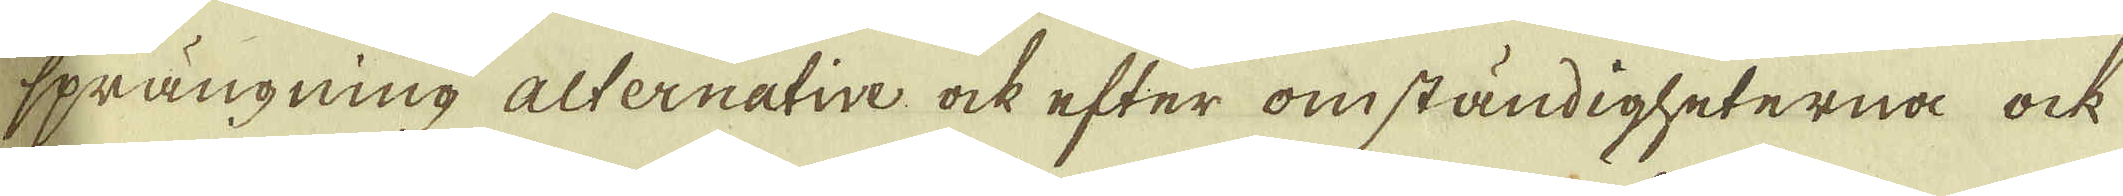sprängning alternative ock efter omständigheterna ock
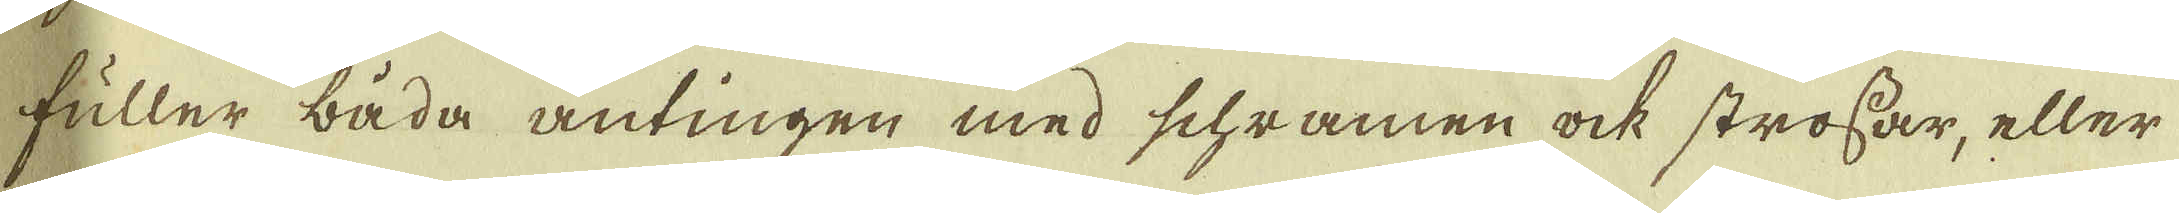fuller båda antingen med schramen ock strossar, eller
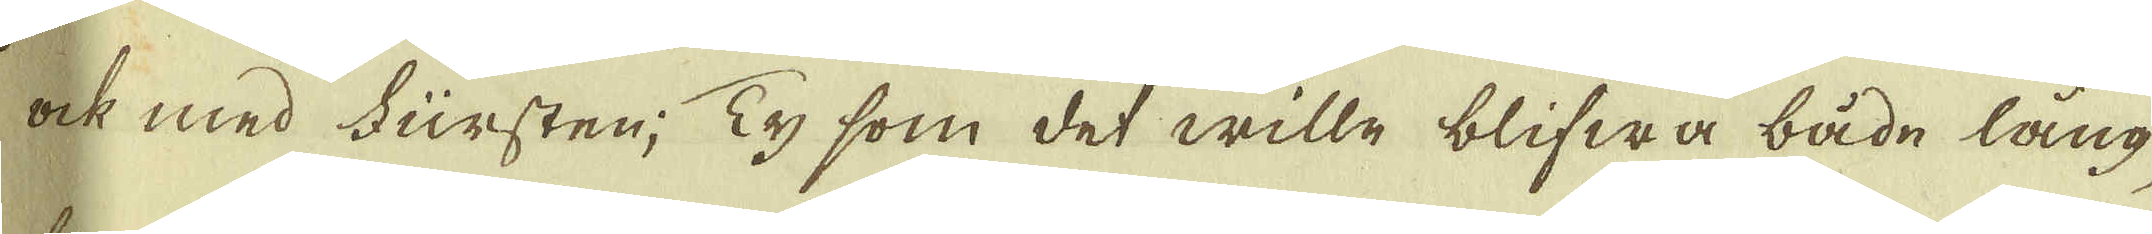ock med Fursten; Ty som det wille blifwa både lång-
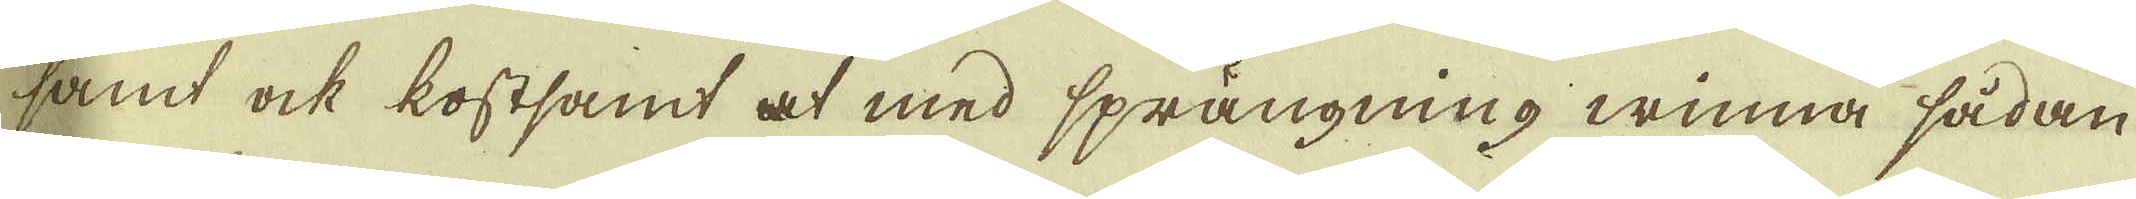samt ock kostsamt at med sprängning winna sådan
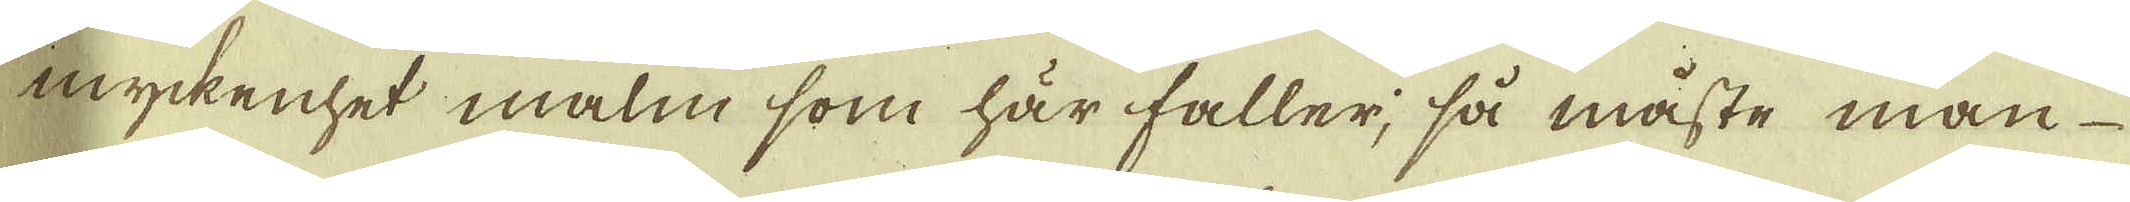myckenhet malm som här faller, så måste man
